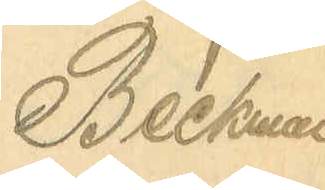Beckman
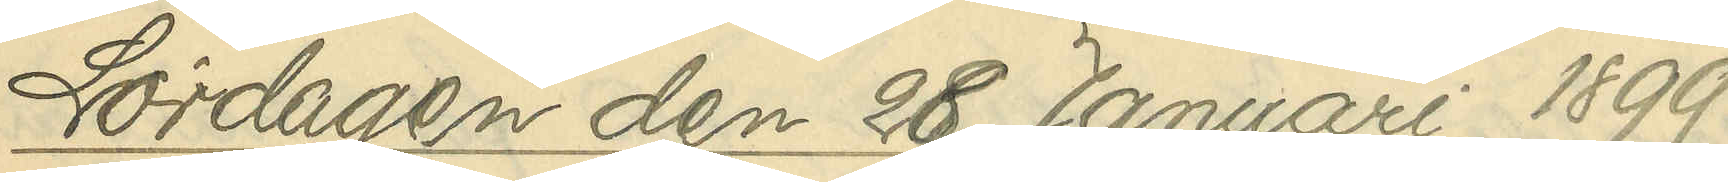Lördagen den 28 Januari 1899
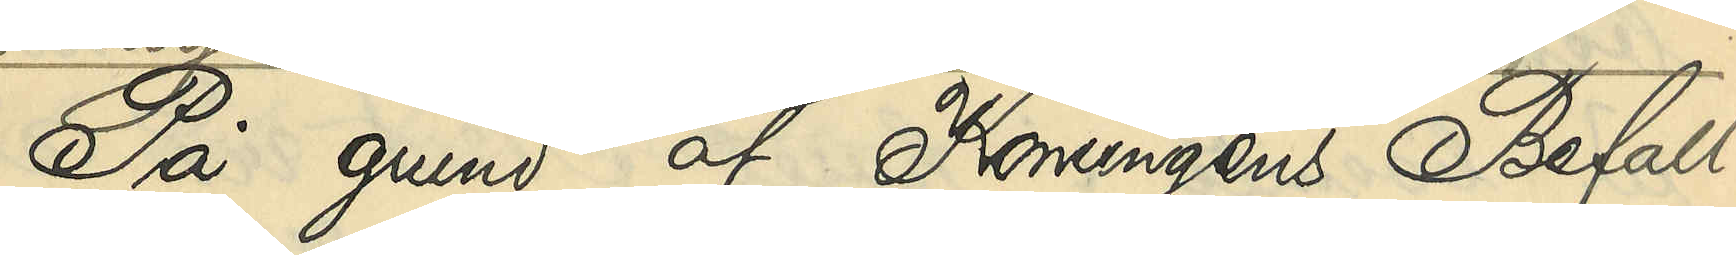På grund af Konungens Befall¬
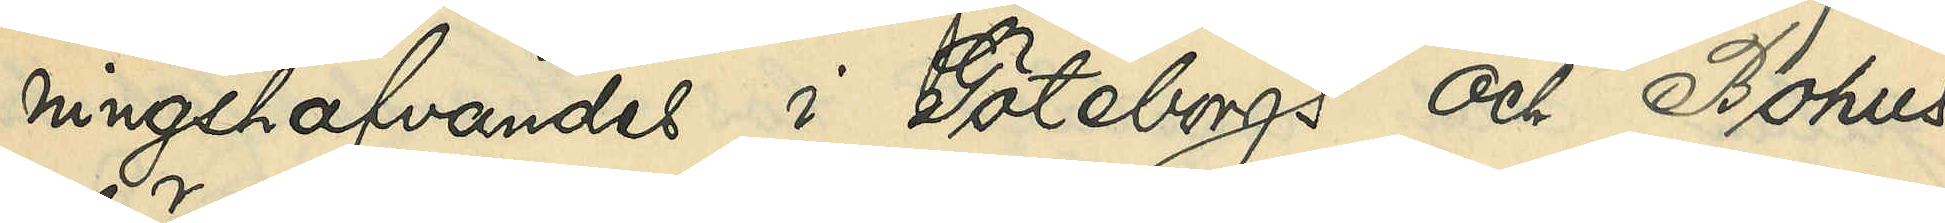ningshafvandes i Göteborgs och Bohus
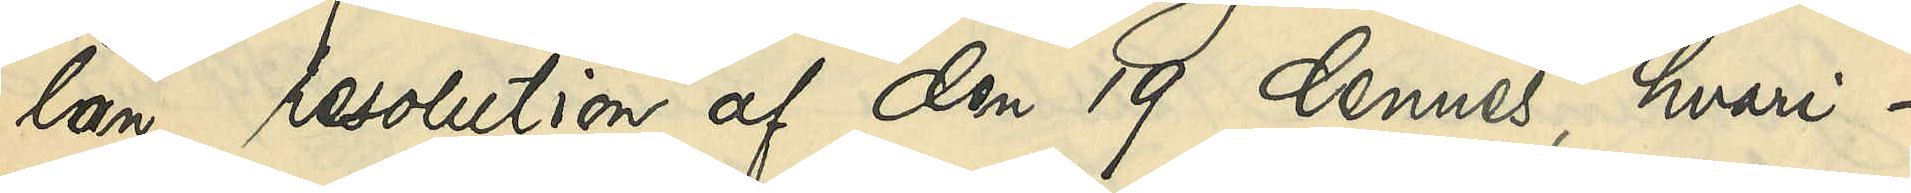län resolution af den 19 dennes, hvari¬
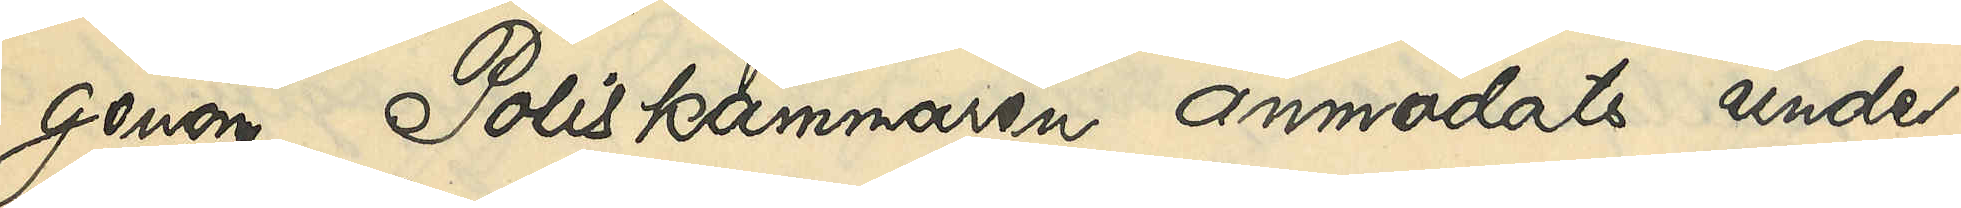genom Poliskammaren anmodats under¬
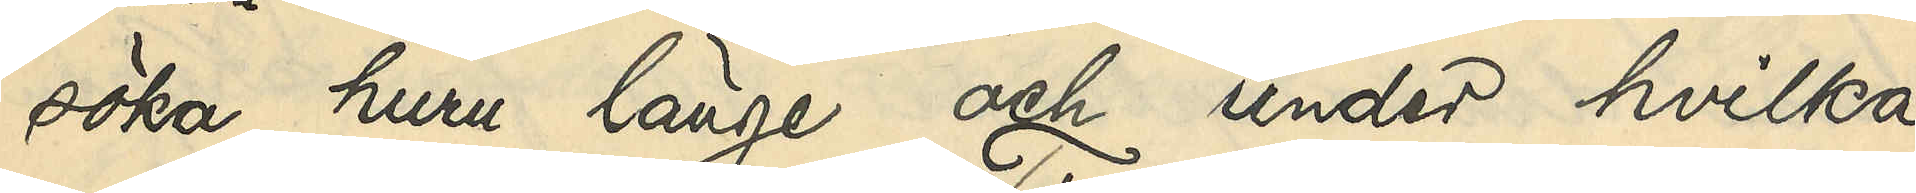söka, huru länge och under hvilka
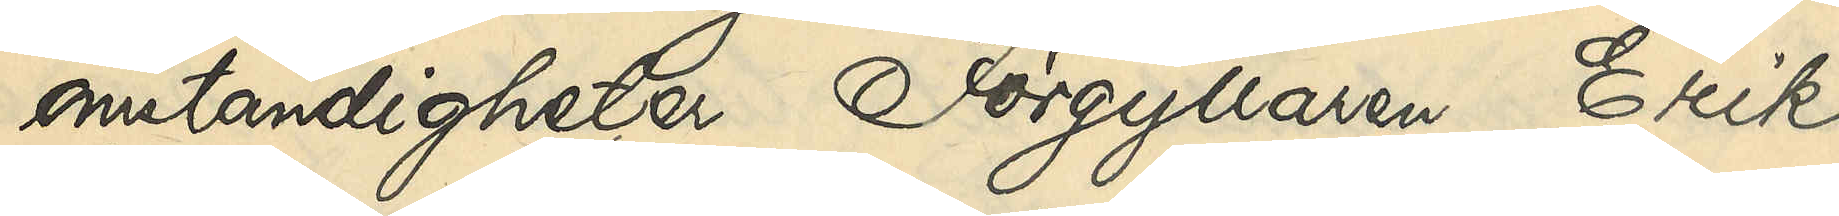omständigheter Förgyllaren Erik
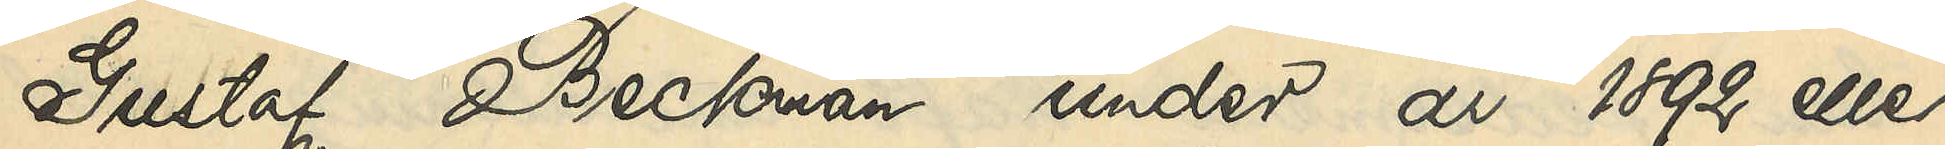Gustaf Beckman under åren 1892 eller
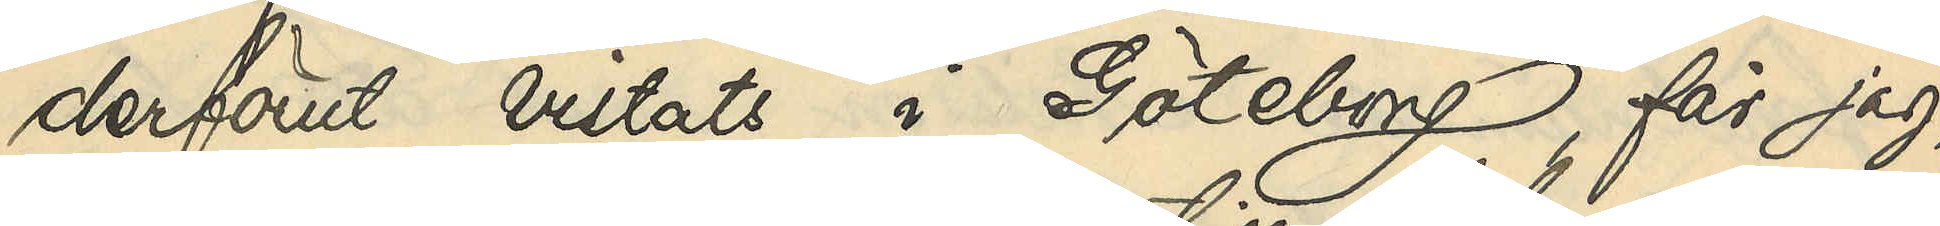derförut vistats i Göteborg, får jag,
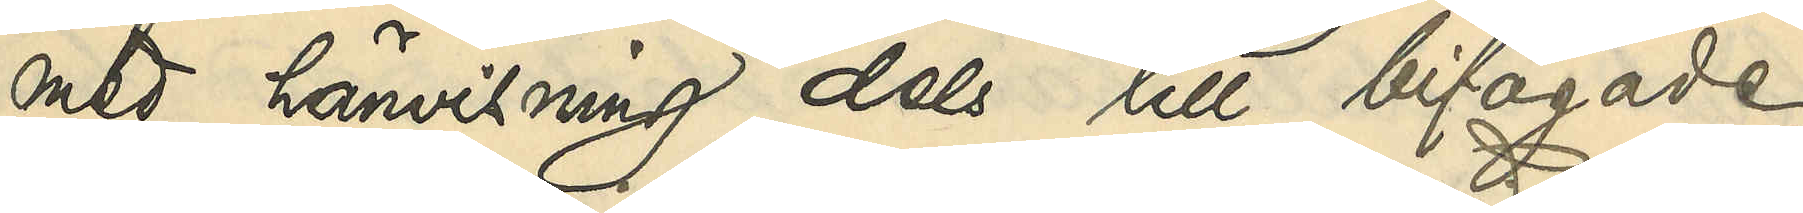med hänvisning dels till bifogade
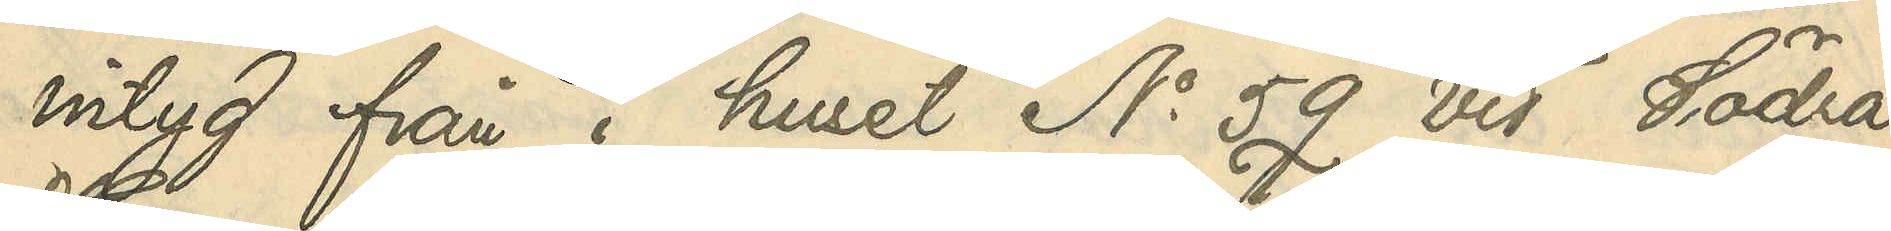intyg från i huset No 59 vid Södra
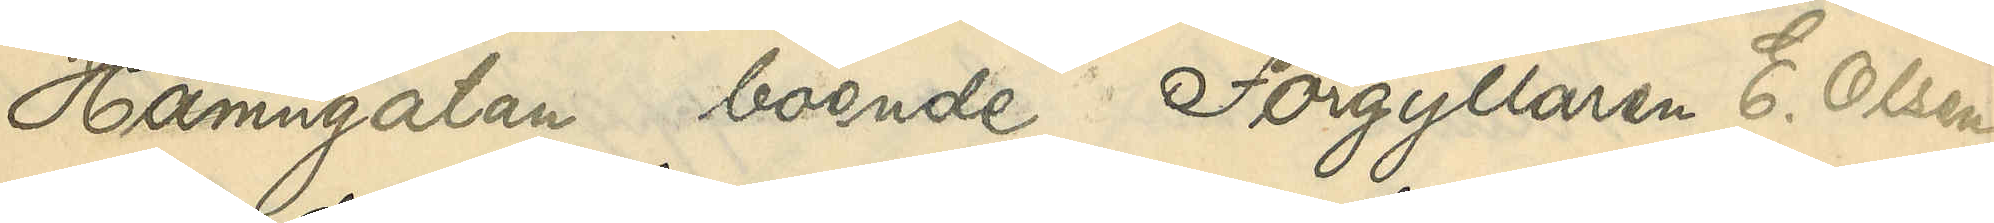Hamngatan boende Förgyllaren E. Olsen
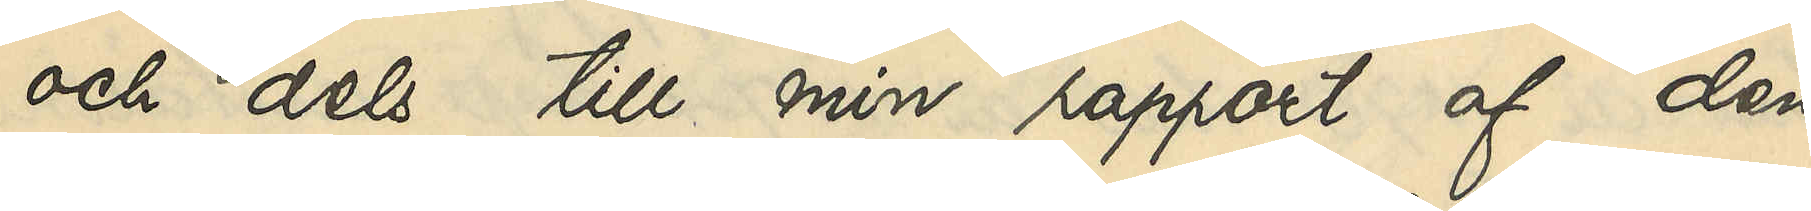och dels till min rapport af den
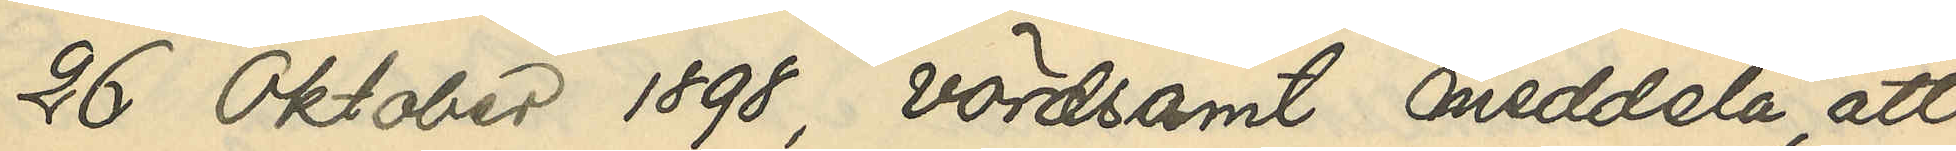26 Oktober 1898, vördsamt meddela, att
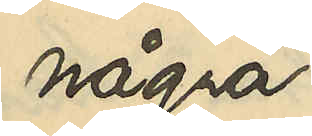några
